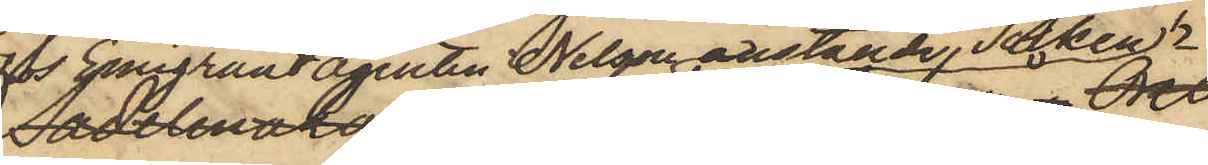Hos Emigrantagenten Nelson anställde Tolken 
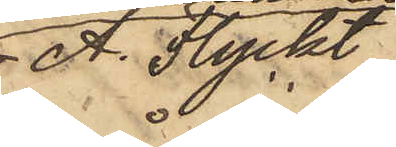A. Flyckt
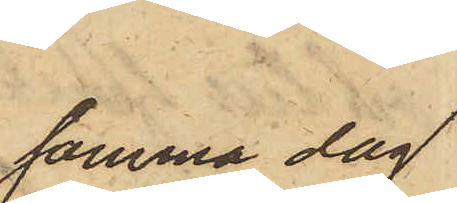samma dag
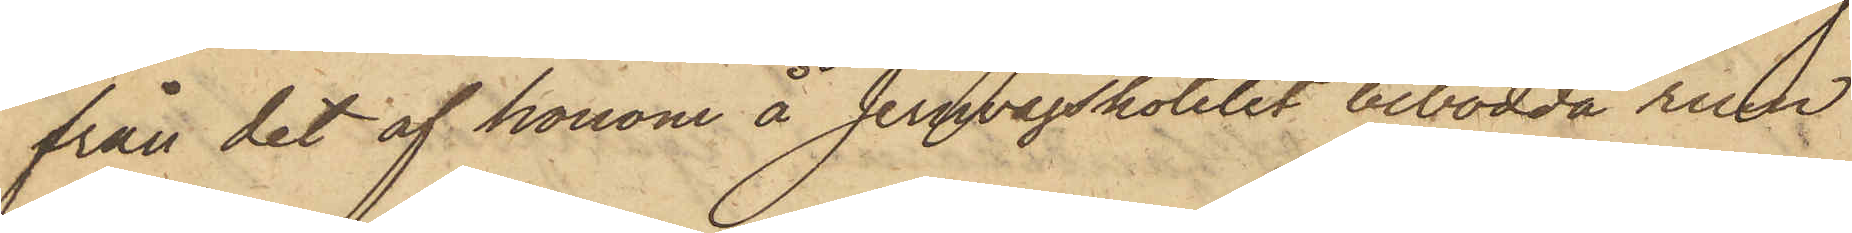från det af honom å Jernvägshotelet bebodda rum
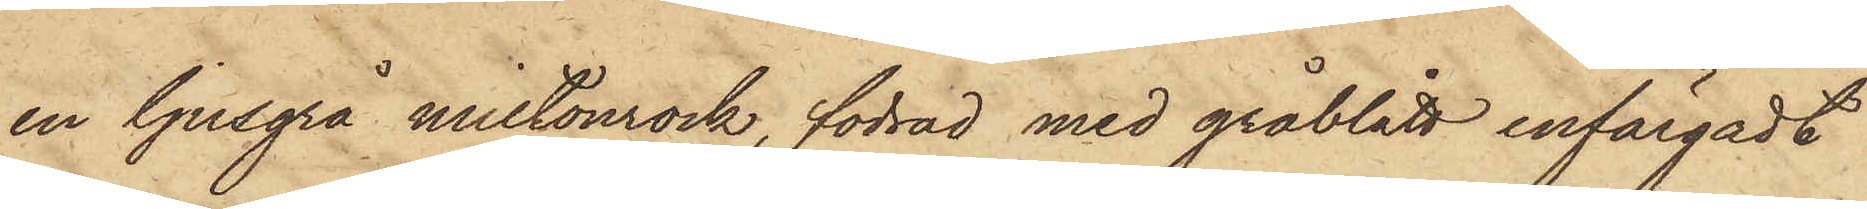en ljusgrå miltonrock, fodrad med gråblått enfärgadt
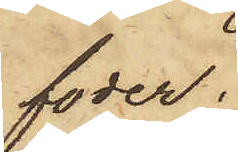foder;
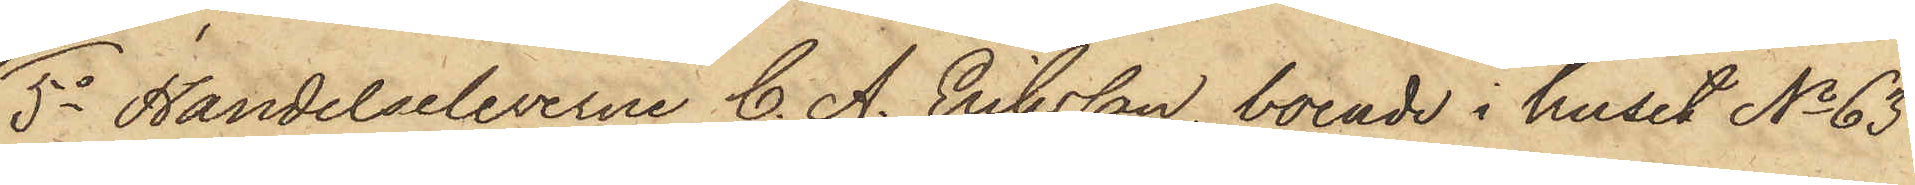5o Handelseleverne C. A. Eriksson, boende i huset No 63
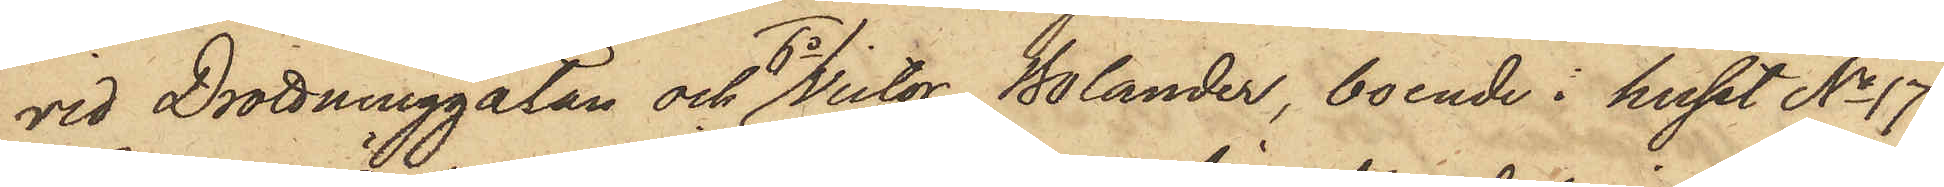vid Drottninggatan och 6o Victor Bolander, boende i huset No 17
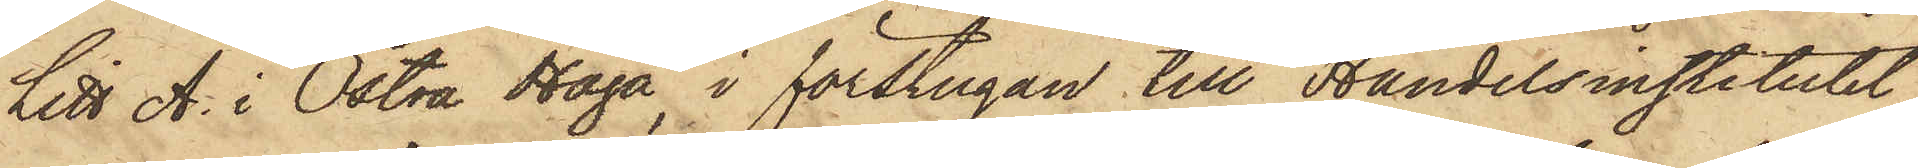Litt A. i Östra Haga, i förstugan till Handelsinstitutet
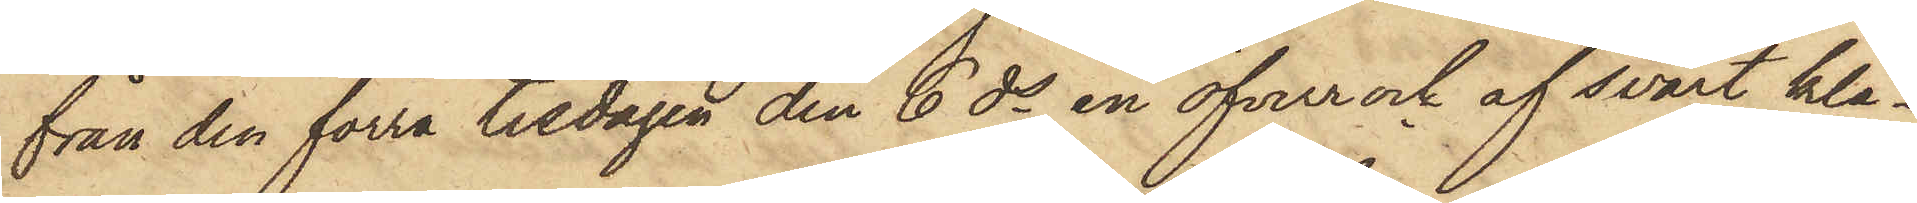från den förra tisdagen den 6 ds en öfverrock af svart klä¬
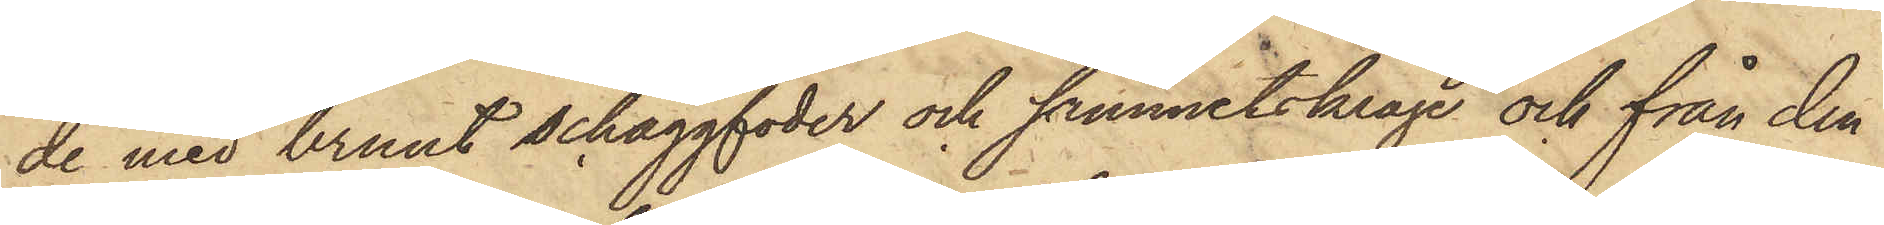de med brunt schaggfoder och sammetskrage och från den
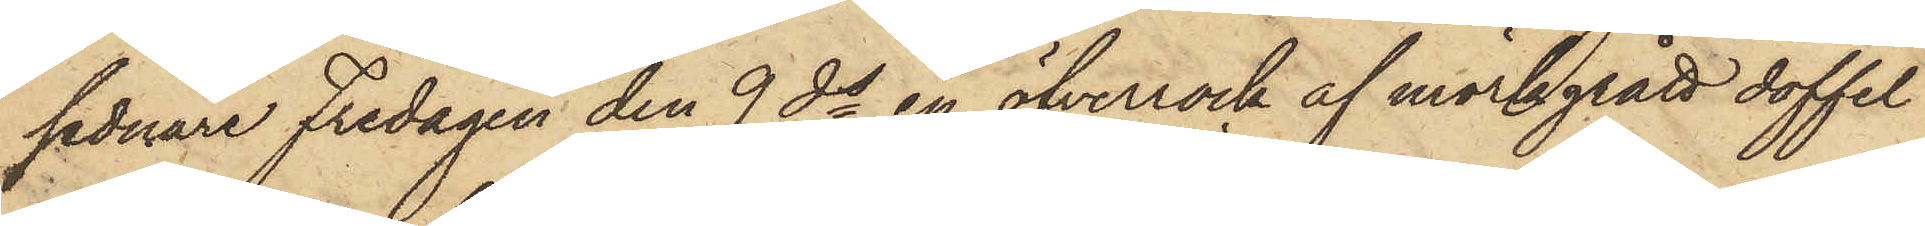sednare Fredagen den 9 ds en öfverrock af mörkgrått doffel
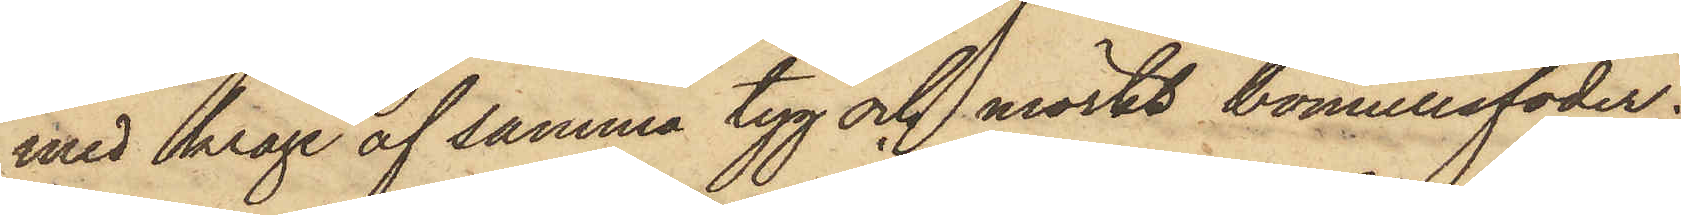med krage af samma tyg och mörkt bomullsfoder;
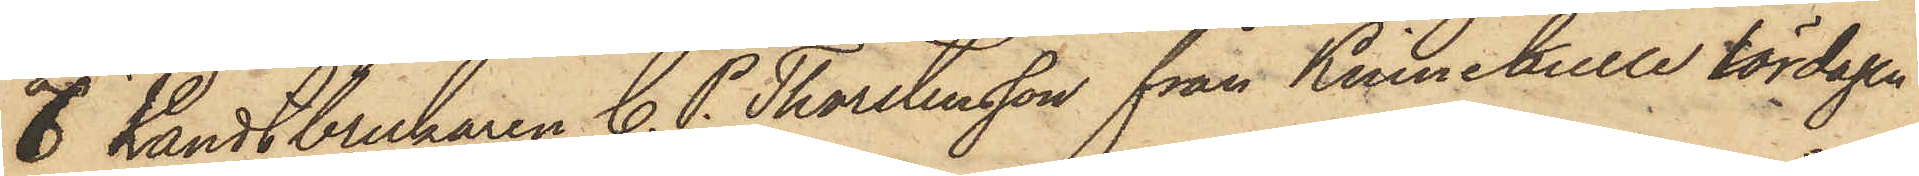6 Landtbrukaren C. P. Thorstensson från Kinnekulle lördagen
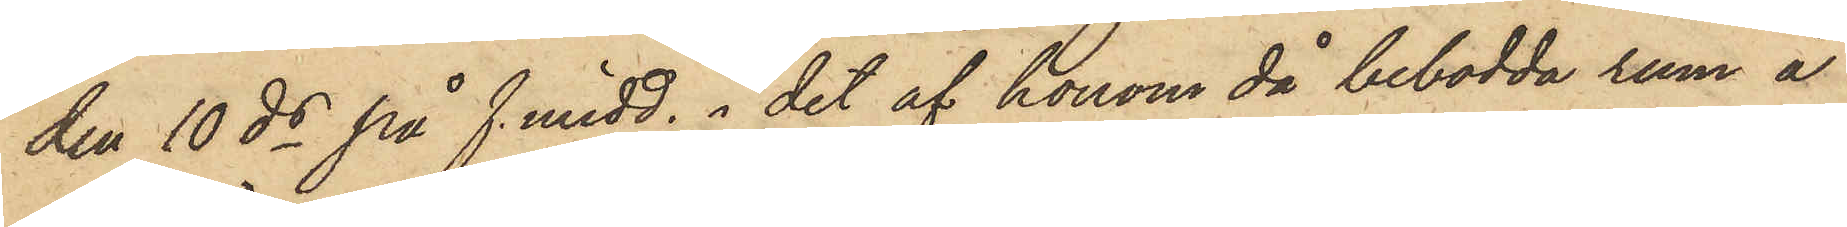den 10 ds på f. midd. i det af honom då bebodda rum å
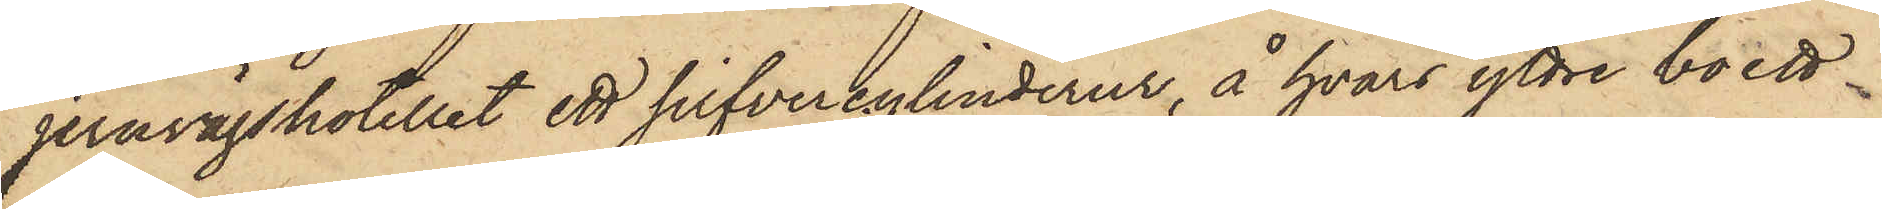jernvägshotellet ett silfvercylinderur, å hvars yttre boett
